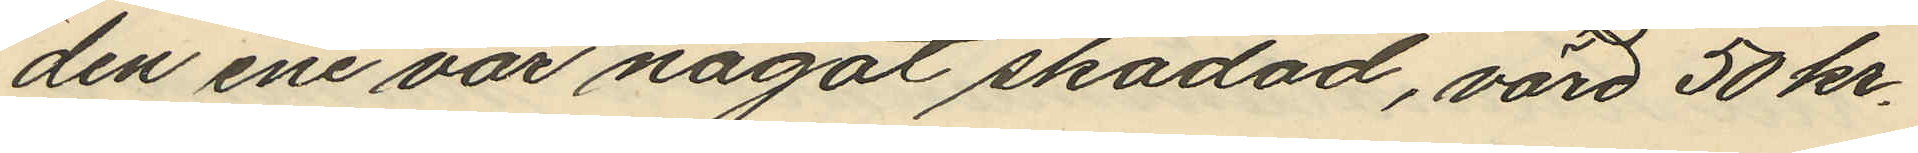den ene var något skadad, värd 50 kr.
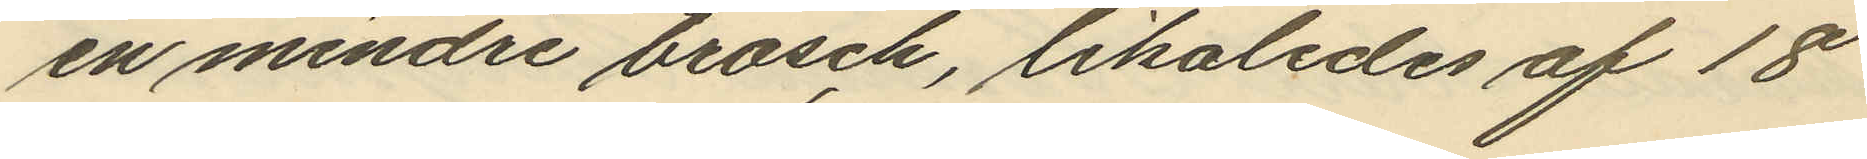en mindre brosch, likaledes af 18
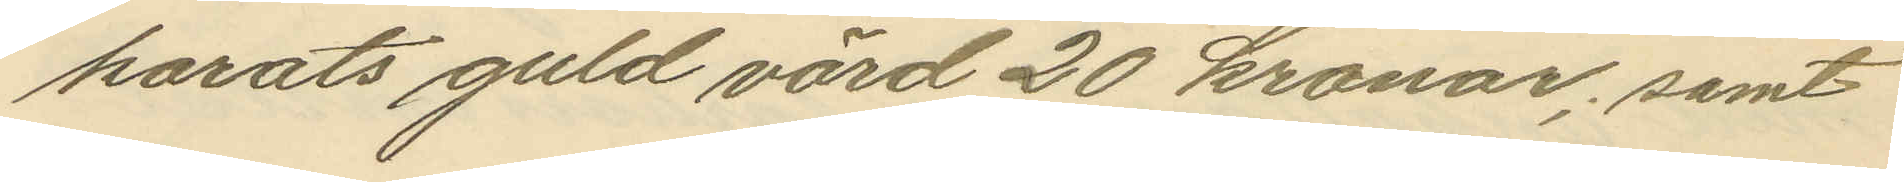karats guld värd 20 kronor, samt
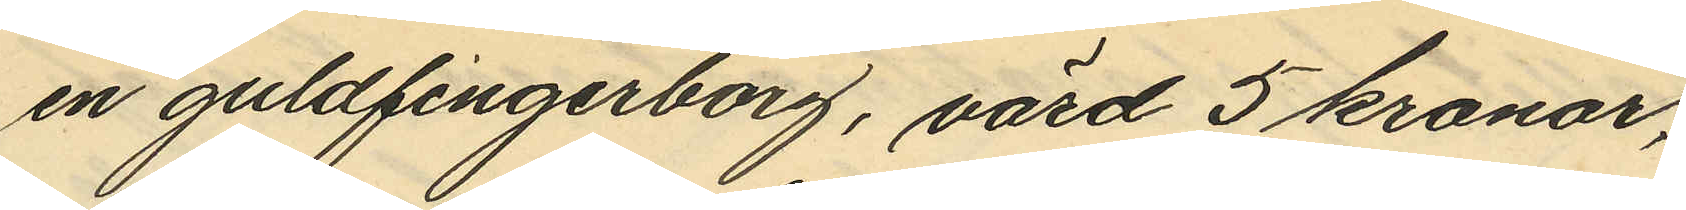en guldfingerborg, värd 5 kronor,
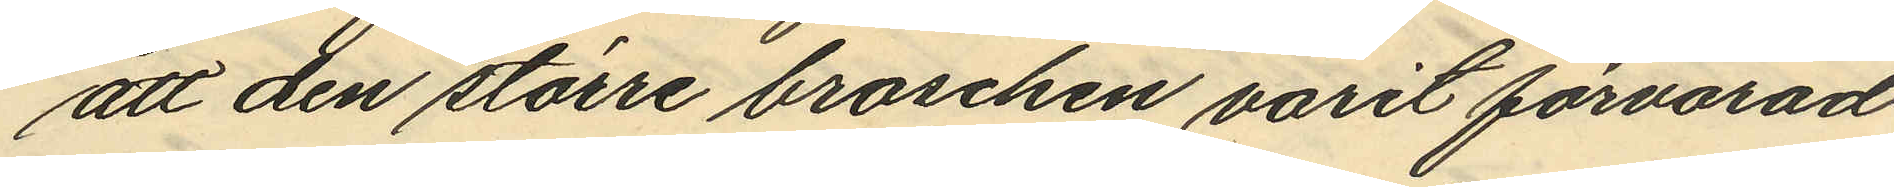att den större broschen varit förvarad
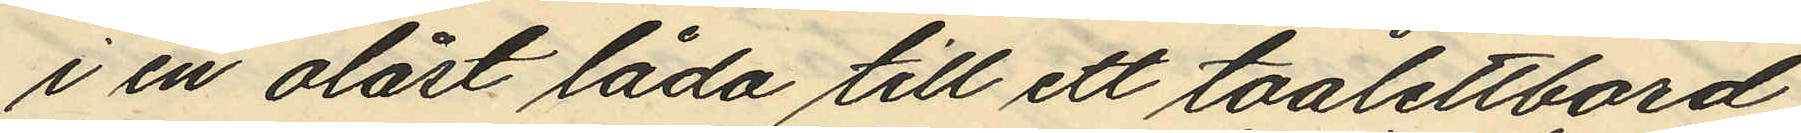i en olåst låda till ett toalettbord
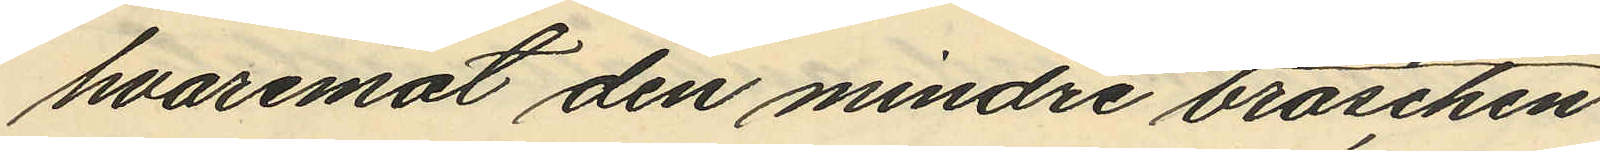hvaremot den mindre broschen
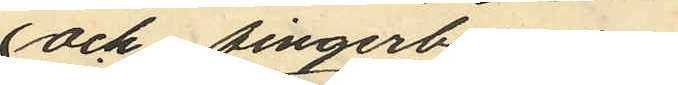och fingerborgen
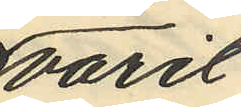varit
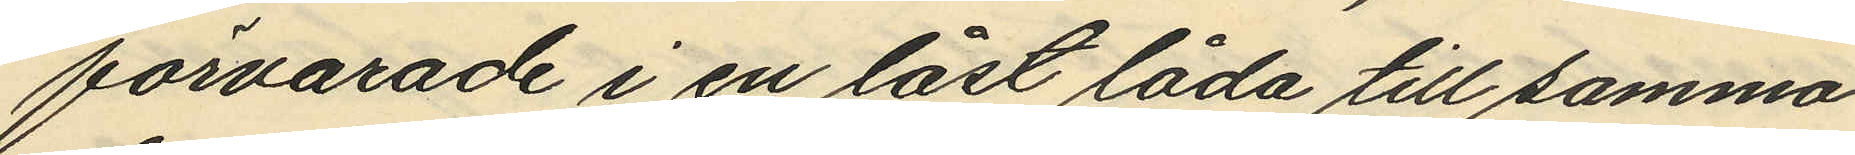förvarade i en låst låda till samma
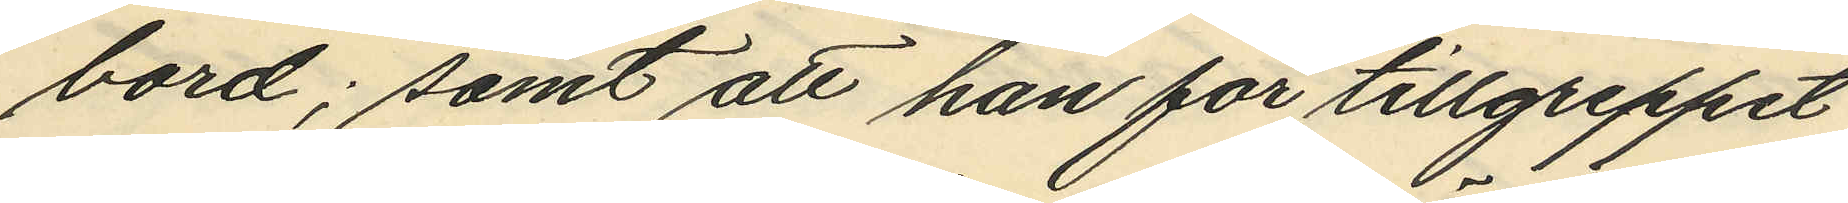bord; samt att han för tillgreppet
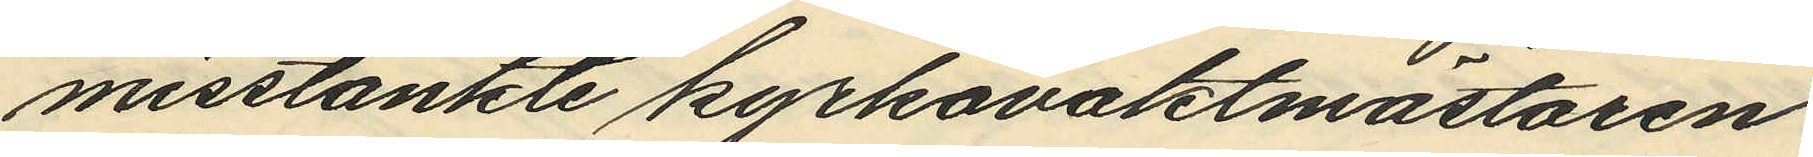misstänkte kyrkovaktmästaren
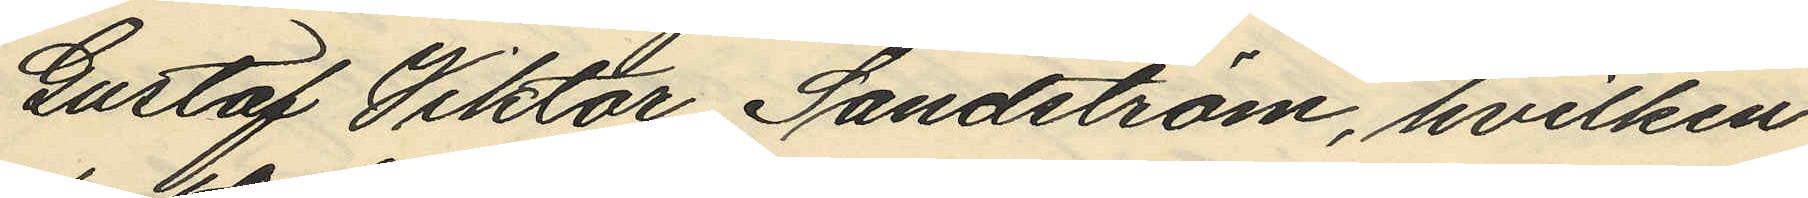Gustaf Viktor Sandström, hvilken
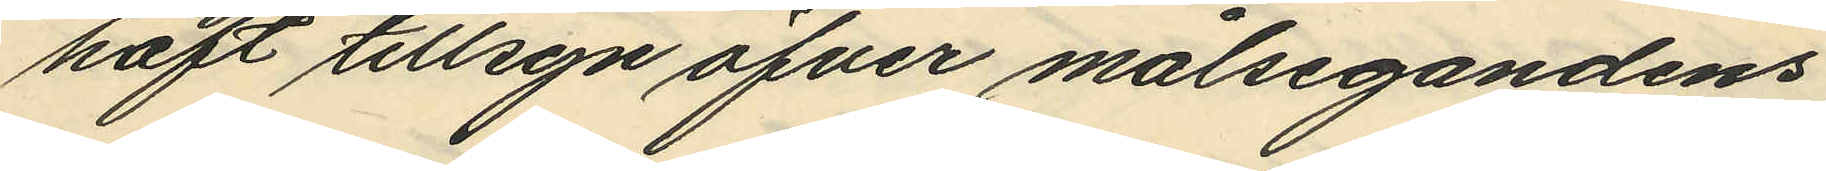haft tillsyn öfver målsegandens
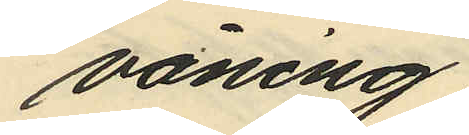våning.
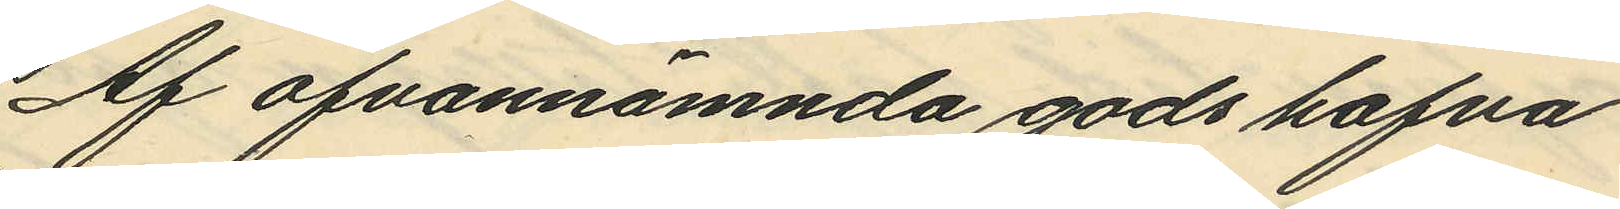Af ofvannämnda gods hafva
